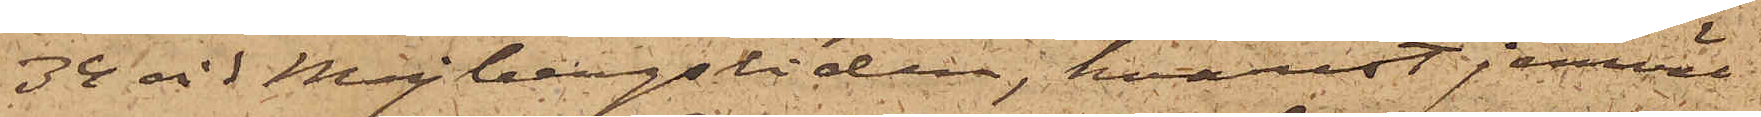34 vid Majbergsliden, hvarest jemväl
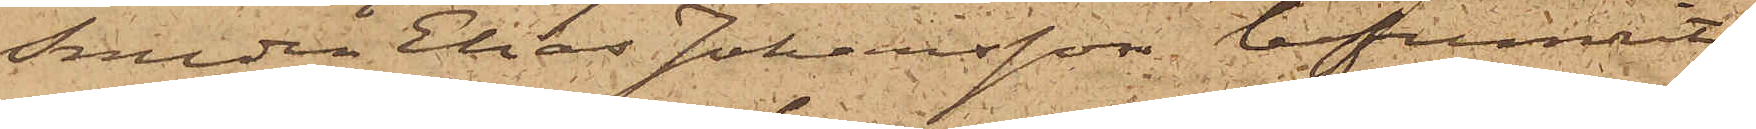Smeden Elias Johansson befunnit
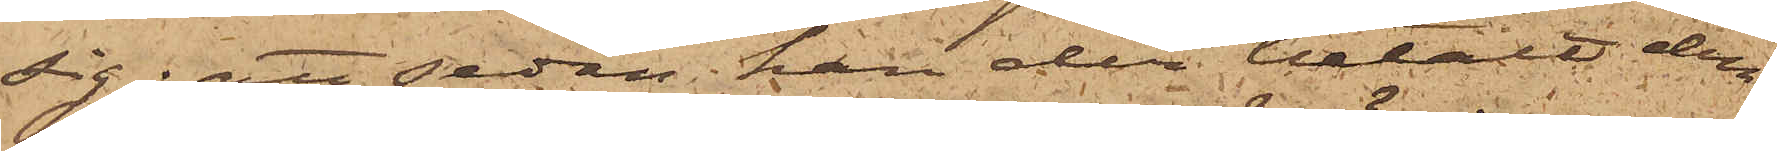sig; att sedan han der betalt den
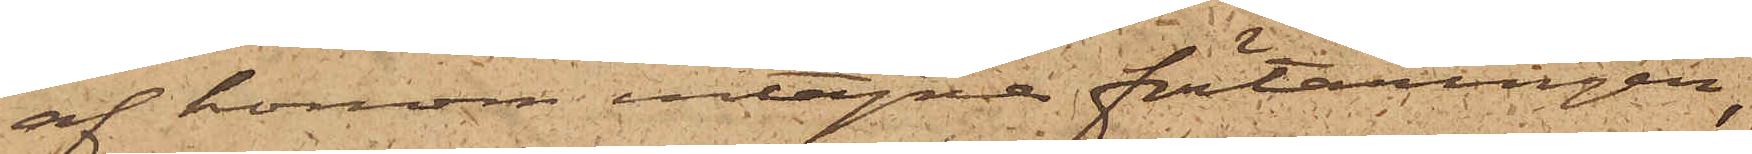af honom intagne förtäringen,
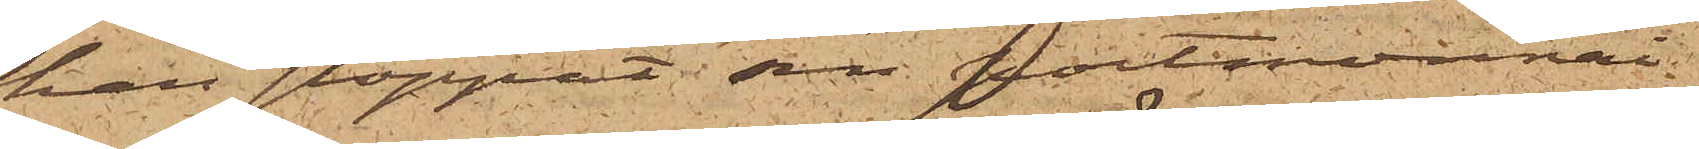han stoppat sin portmonnai
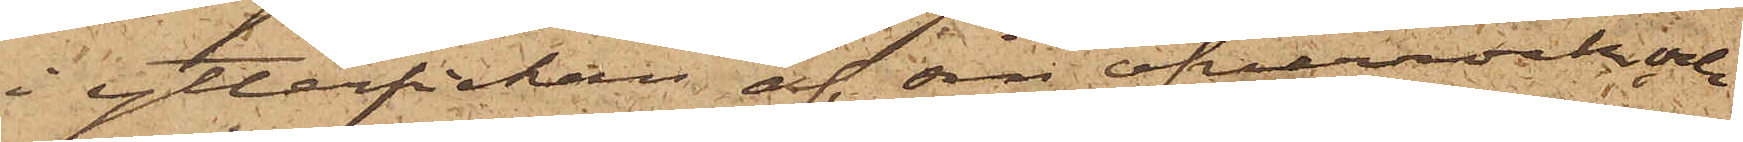i ytterfickan af sin öfverrock och
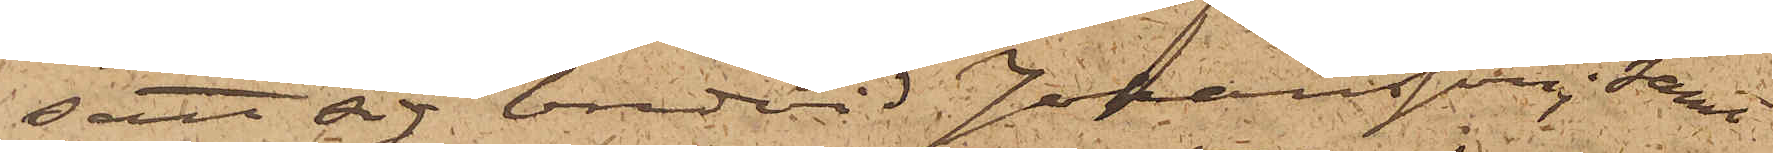satt sig bredvid Johansson; samt
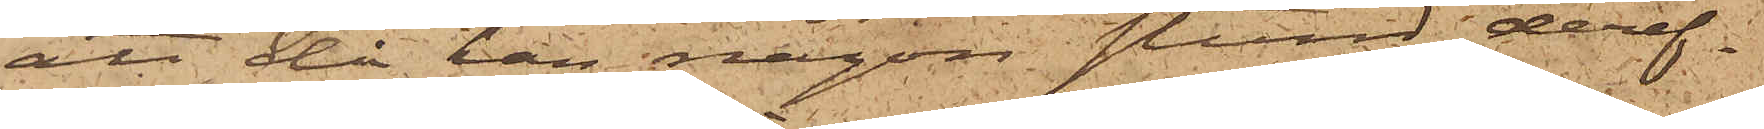att då han någon stund deref¬
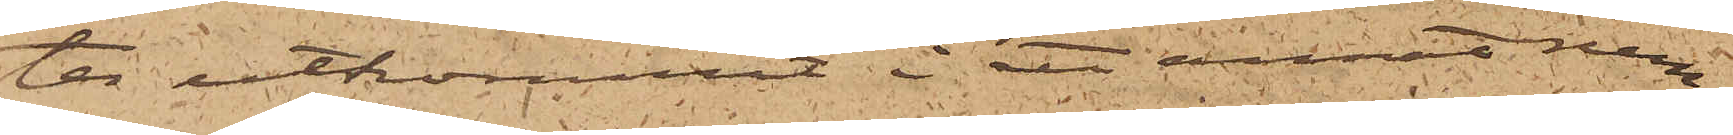ter utkommit  i ett annat rum,
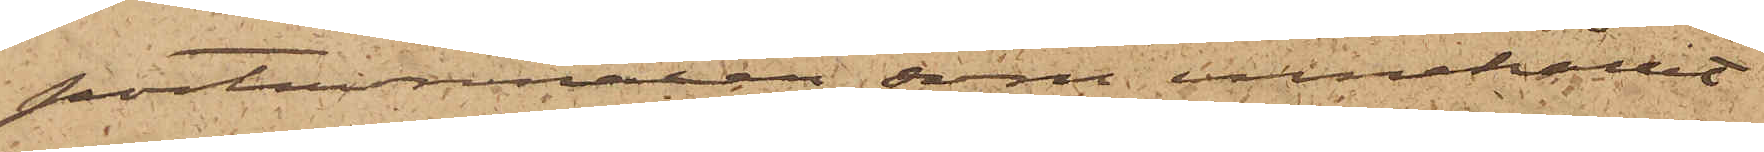portmonnaien, som innehållit
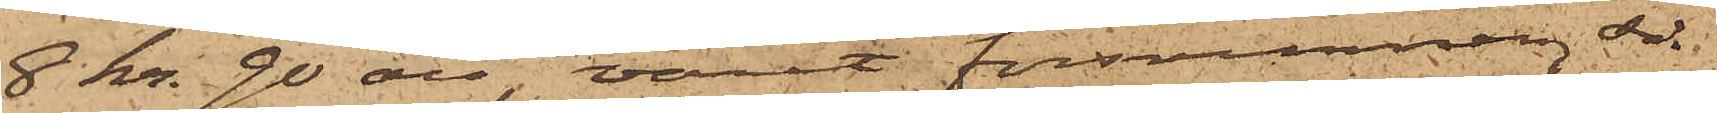8 kr. 90 öre, varit försvunnen, så
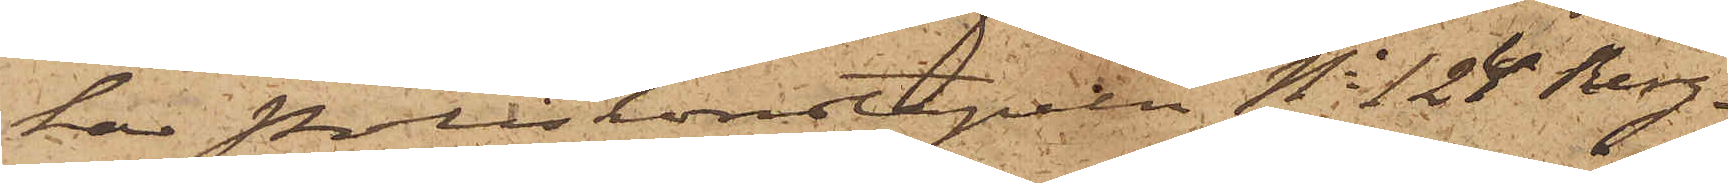har Poliskonstapeln No 124 Berg¬
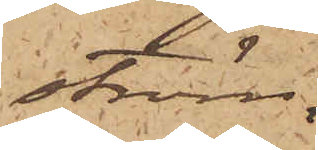ström
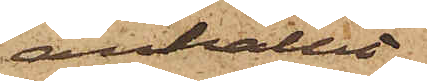anhållit
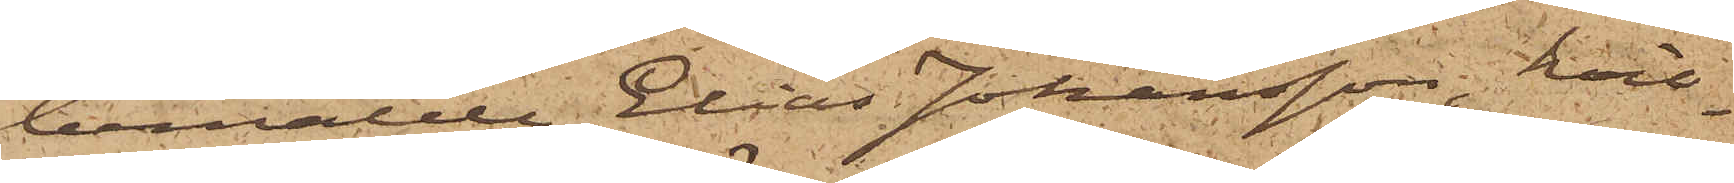bemälde Elias Johansson, hvil¬
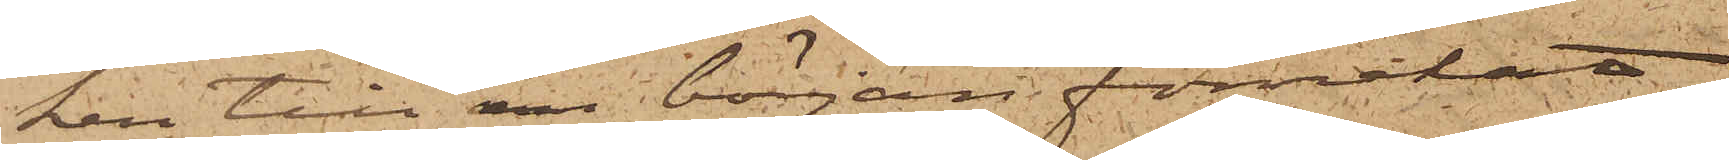ken till en början förnekat
